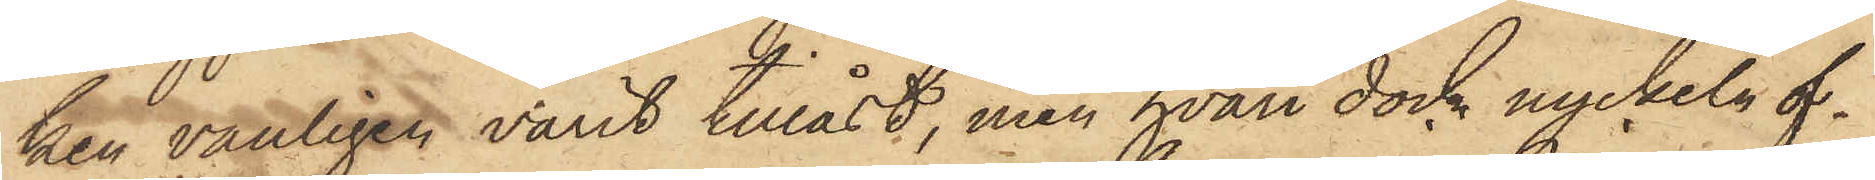ken vanligen varit tillåst, men hvari dock nyckeln of¬
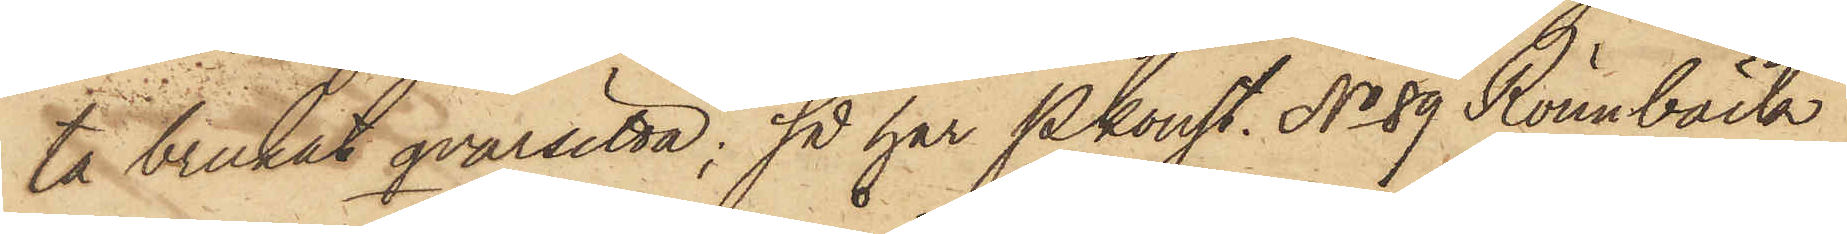ta brukat qvarsitta; så har Pkonst. No 89 Rönnbäck
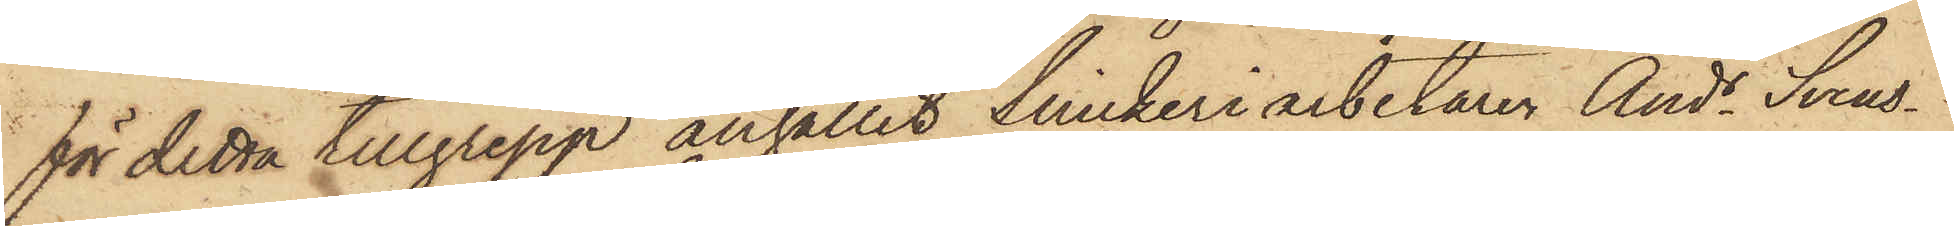för detta tillgrepp anhållit Snickeriarbetaren Ands Svens¬
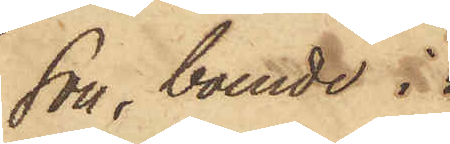son, boende i
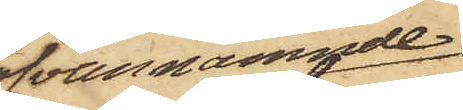ofvannämnde
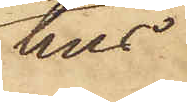hus,
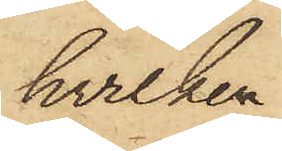hvilken
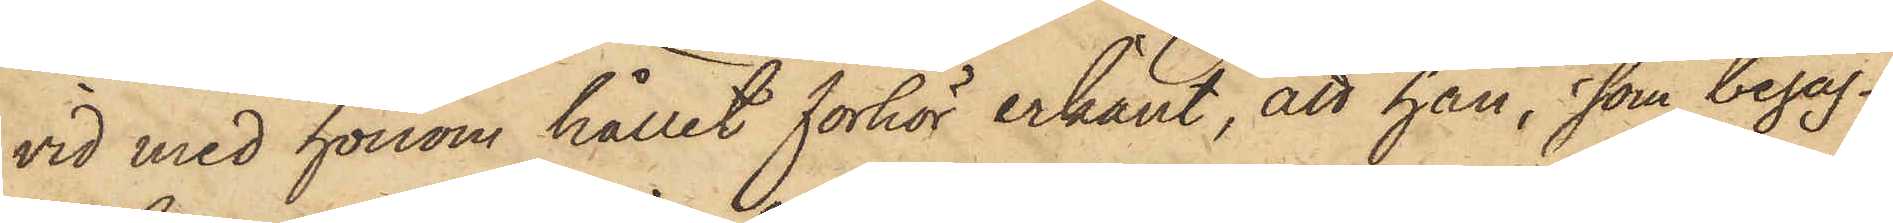vid med honom hållet förhör erkänt, att han, som begag¬
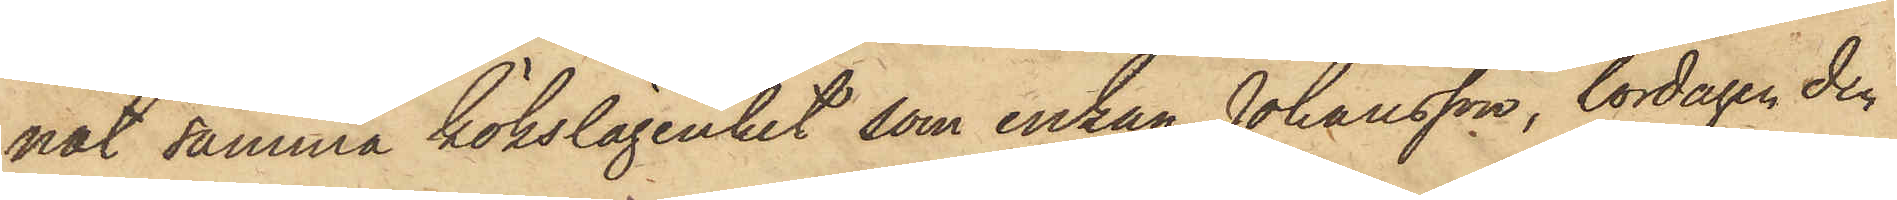nat samma kökslägenhet som enkan Johansson, lördagen den
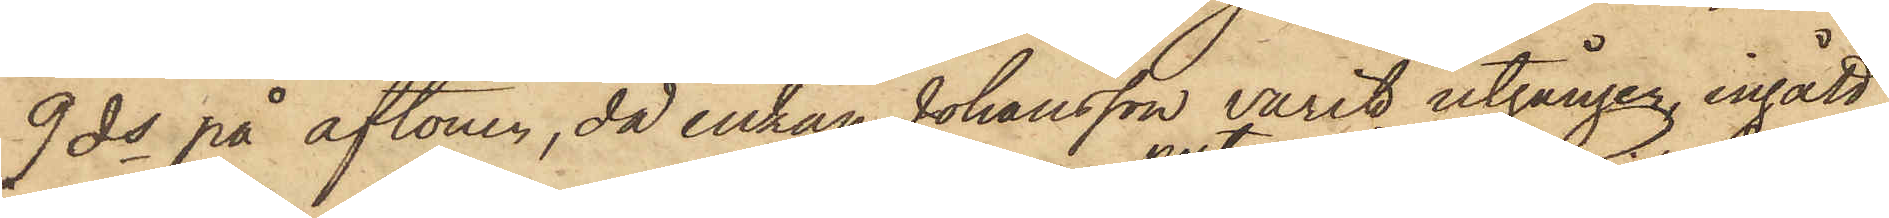9 ds på aftonen, då enkan Johansson varit utgången, ingått
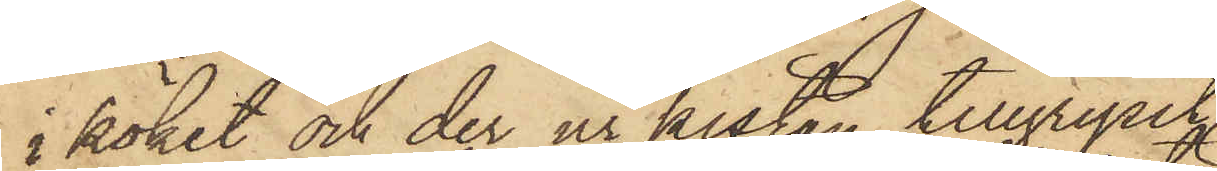i köket och der ur kistan tillgripit
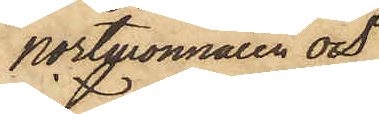portmonnaien och
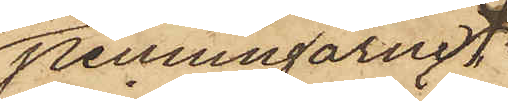penningarne
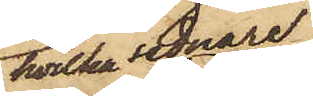hvilka sednare
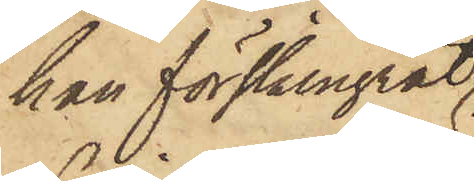han förskingrat
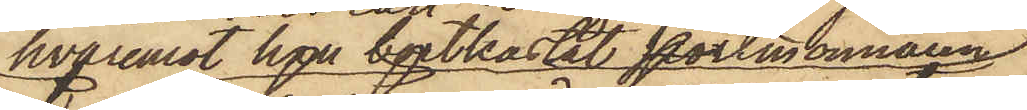hvaremot han bortkastat portmonnaien;
